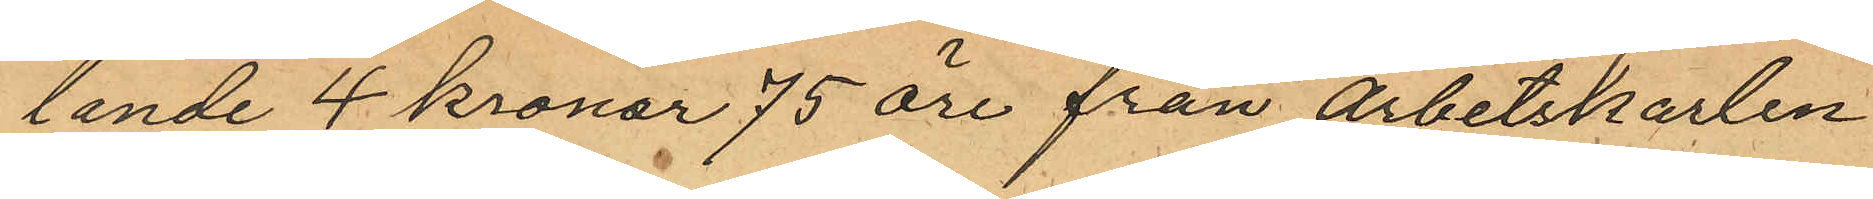lande 4 kronor 75 öre från arbetskarlen
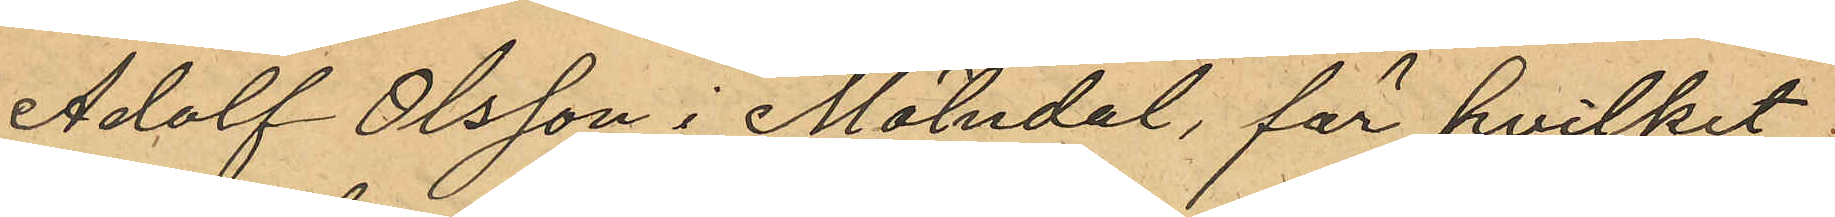Adolf Olsson i Mölndal, för hvilket
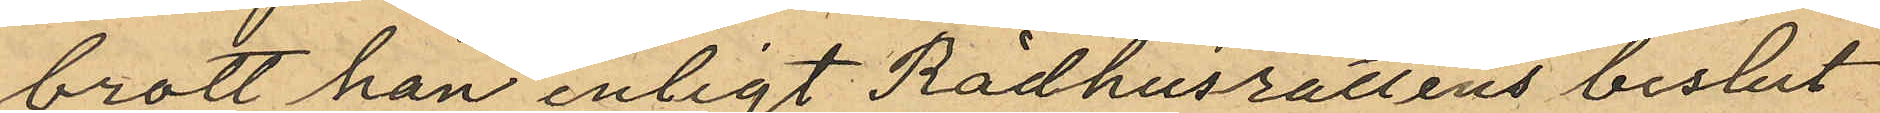brott han enligt Rådhusrättens beslut
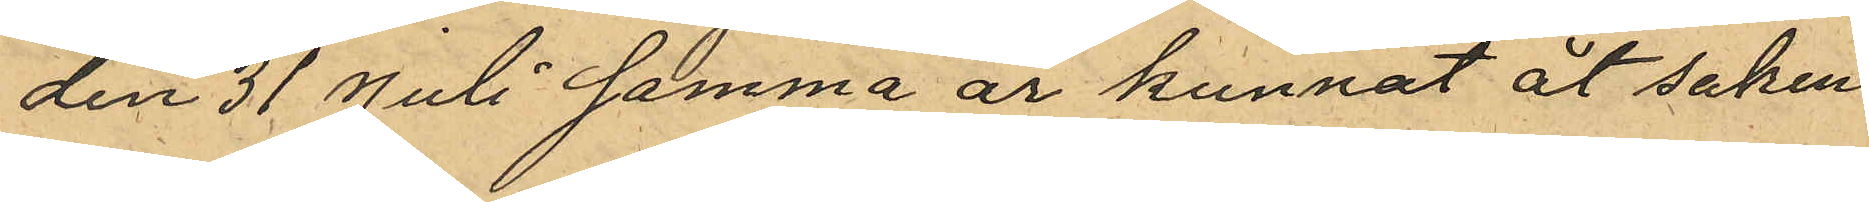den 31 Juli samma år kunnat åt saken
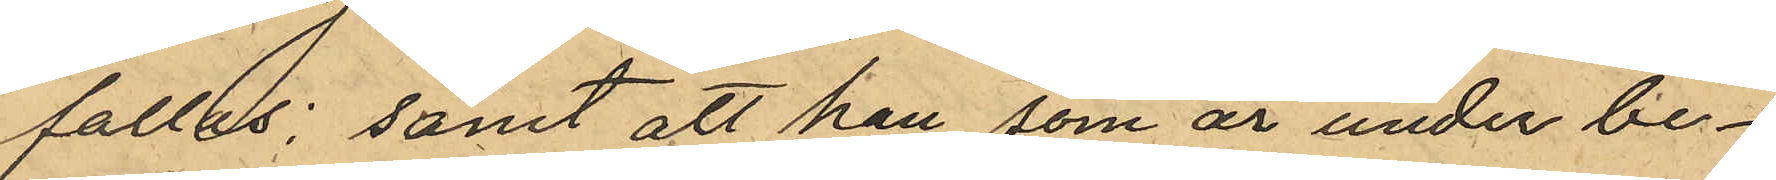fallas; samt att han, som är under be¬
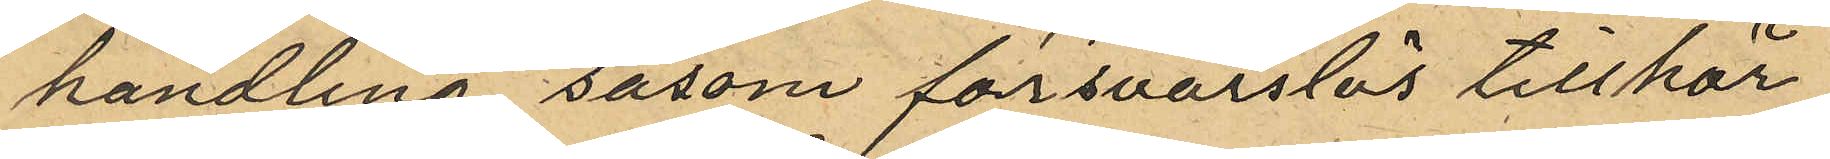handling såsom försvarslös tillhör
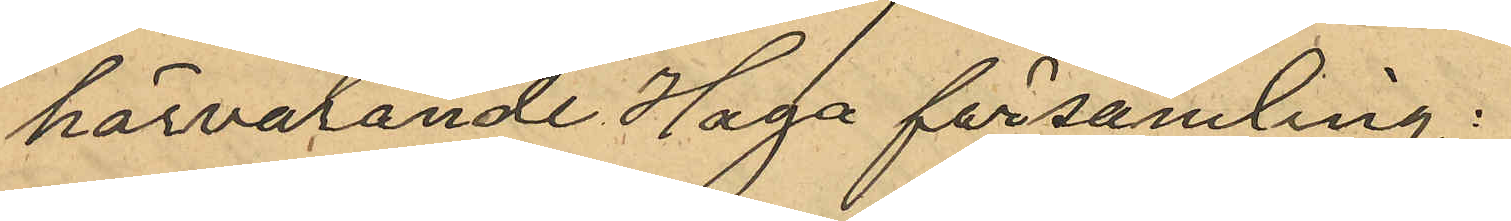härvarande Haga församling.
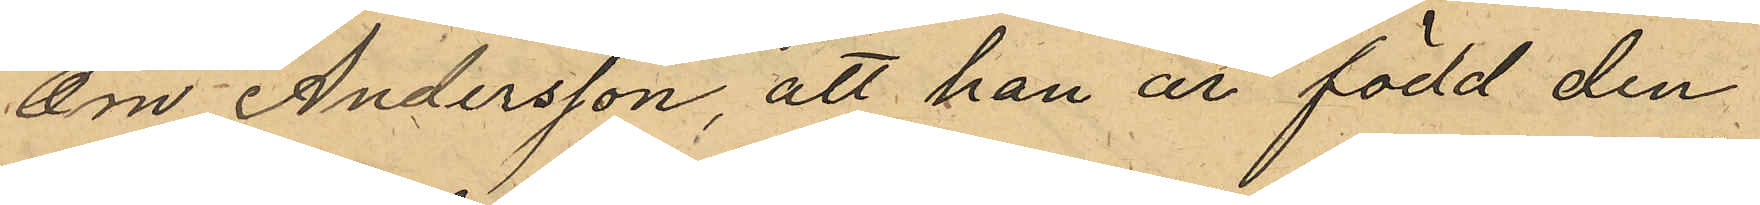Om Andersson, att han är född den
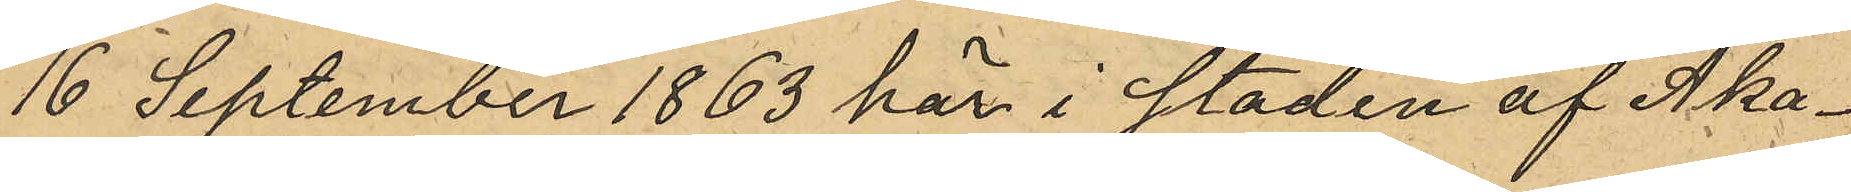16 September 1863 här i staden af Åka¬
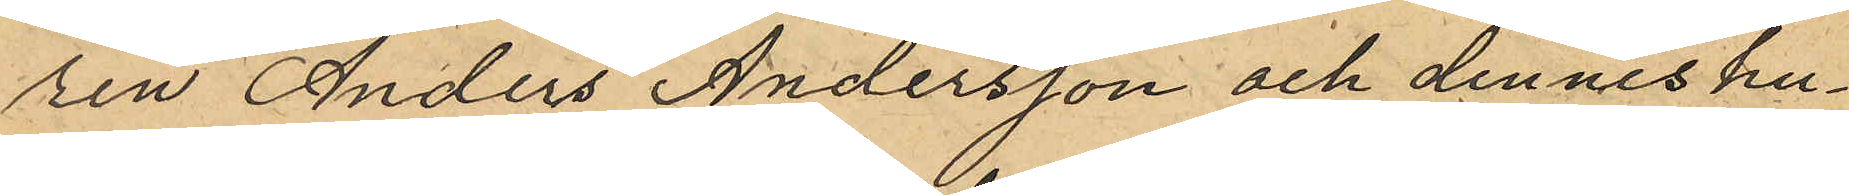ren Anders Andersson och dennes hu¬
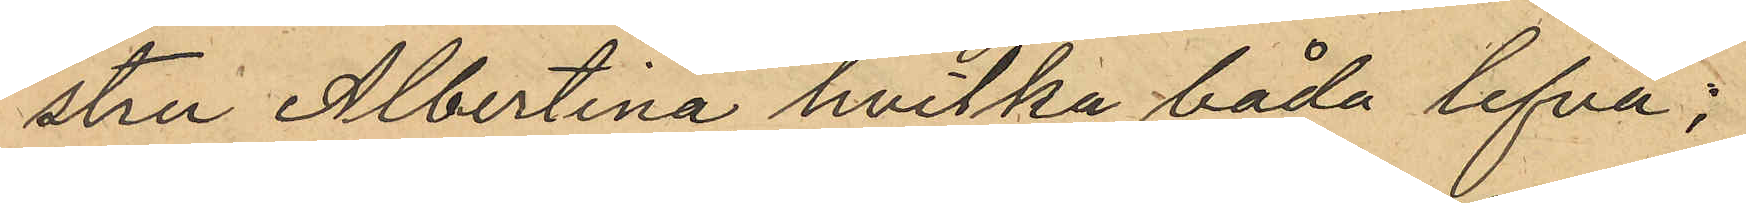stru Albertina, hvilka båda lefva;
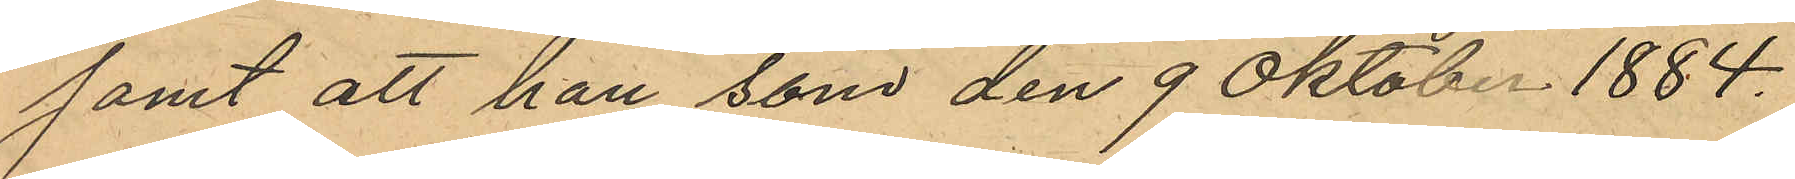samt att han som den 9 Oktober 1884.
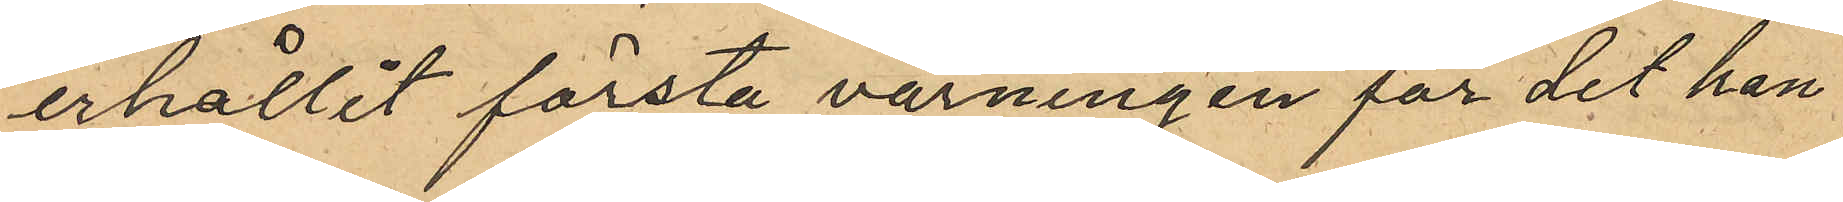erhållit första varningen för det han
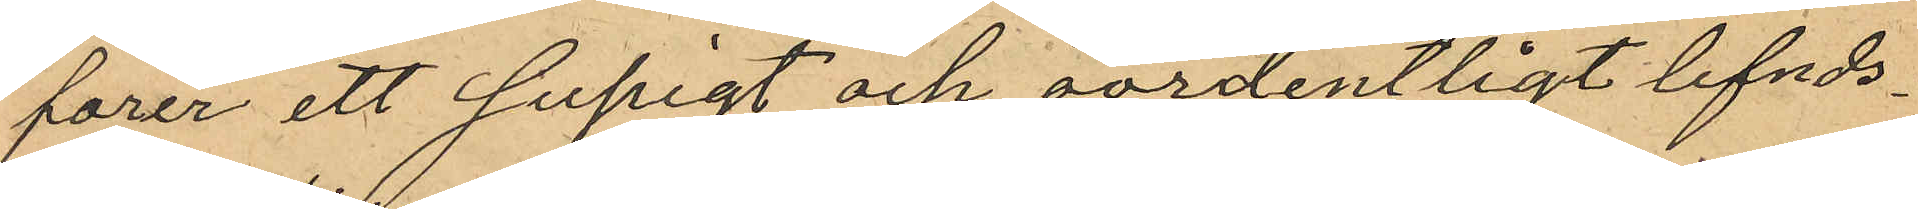förer ett supigt och oordentligt lefnds¬
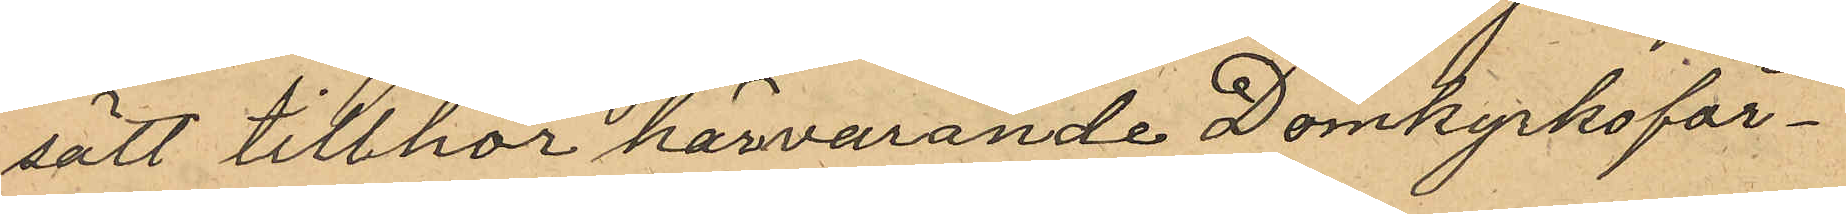sätt tillhör härvarande Domkyrkoför¬
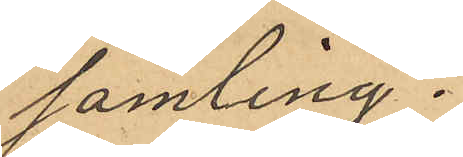samling.
